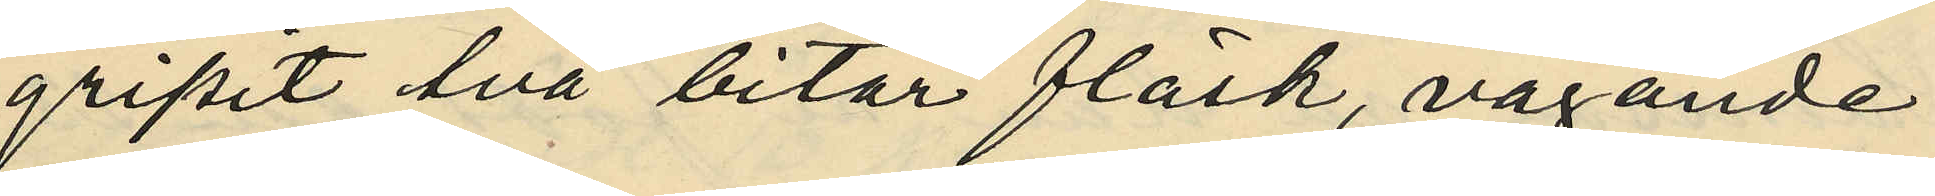gripit två bitar fläsk, vägande
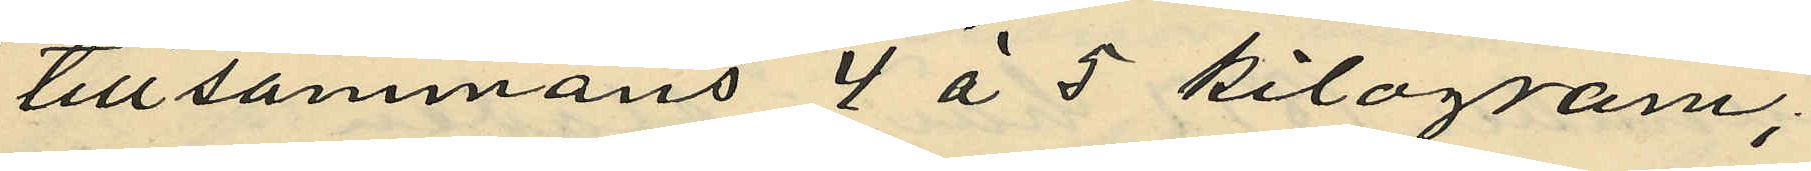tillsammans 4 á 5 kilogram;
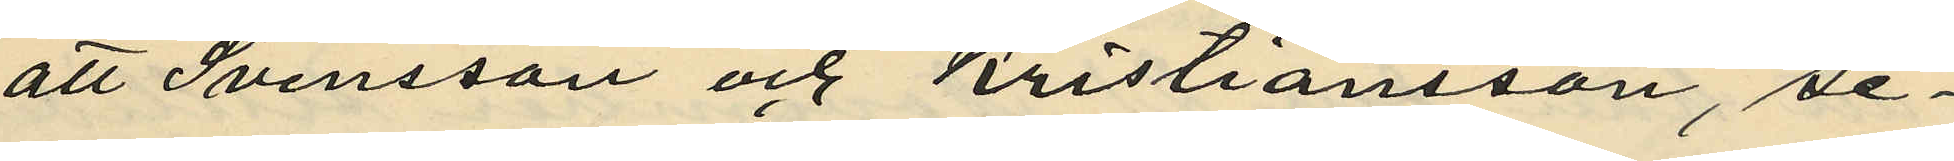att Svensson och Kristiansson, se¬
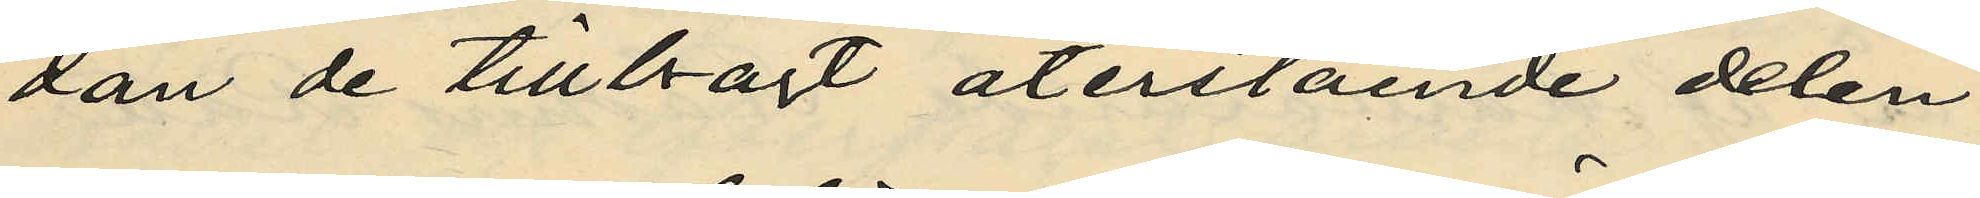dan de tillbragt återstående delen
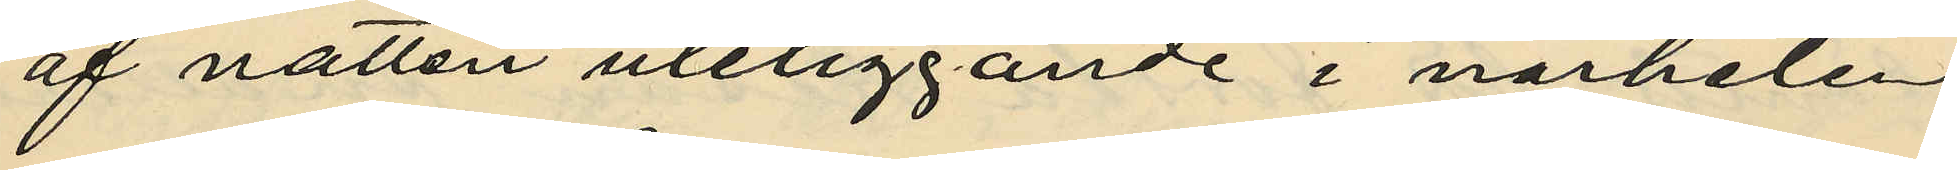af natten uteliggande i närheten
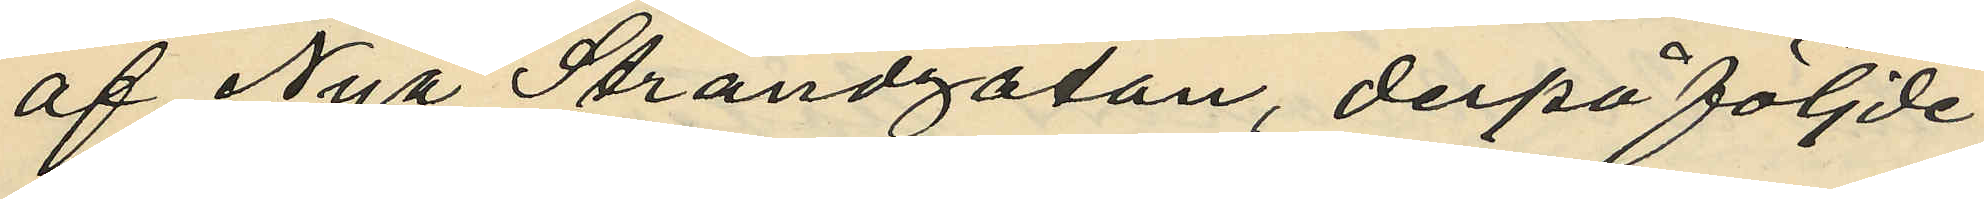af Nya Strandgatan, derpåföljde
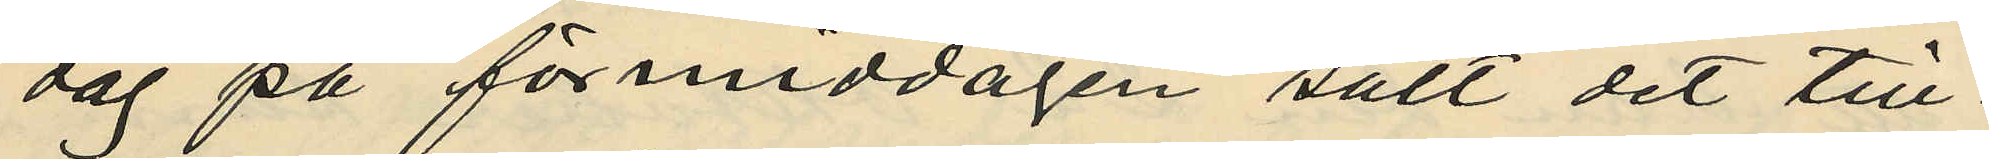dag på förmiddagen sålt det till¬
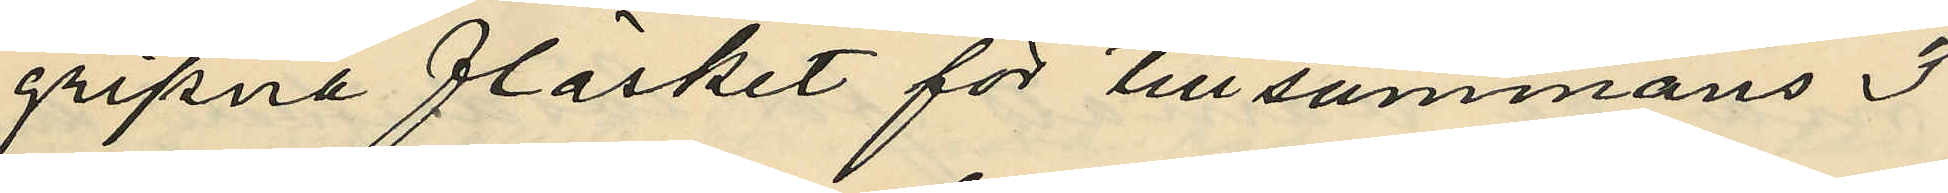gripna fläsket för tillsammans 3
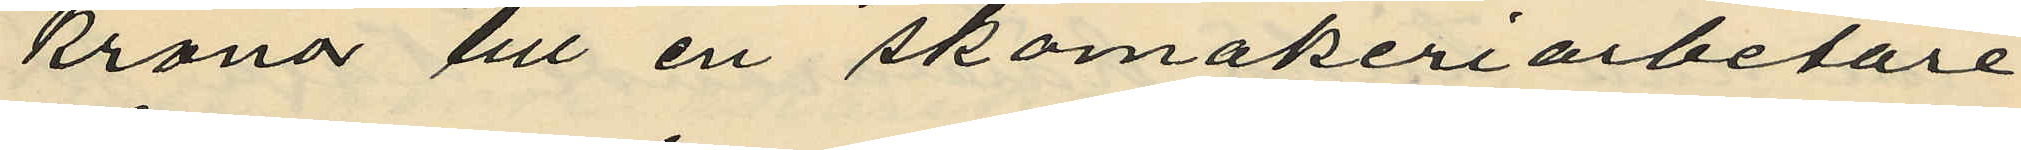kronor till en skomakeriarbetare
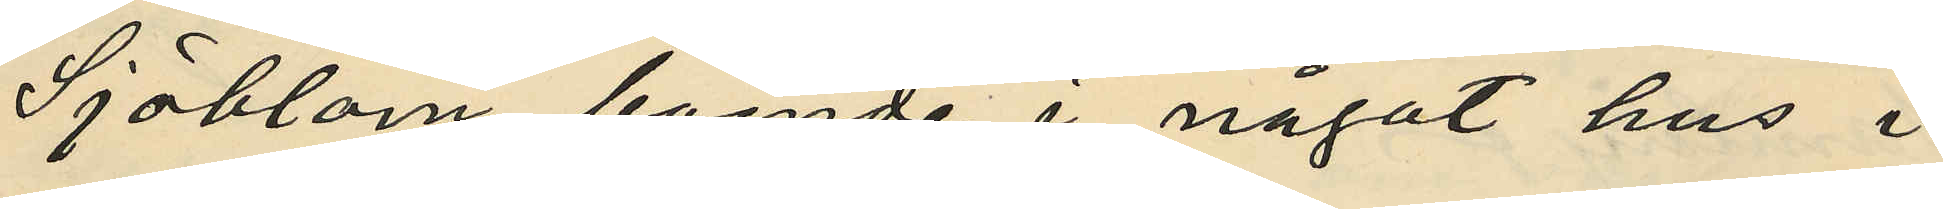Sjöblom, boende i något hus i
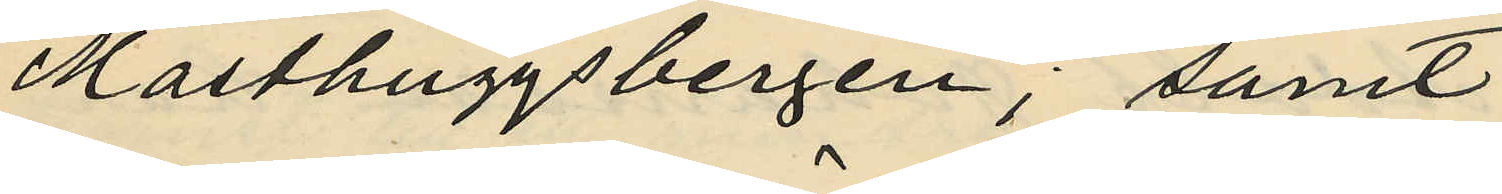Masthuggsbergen; samt
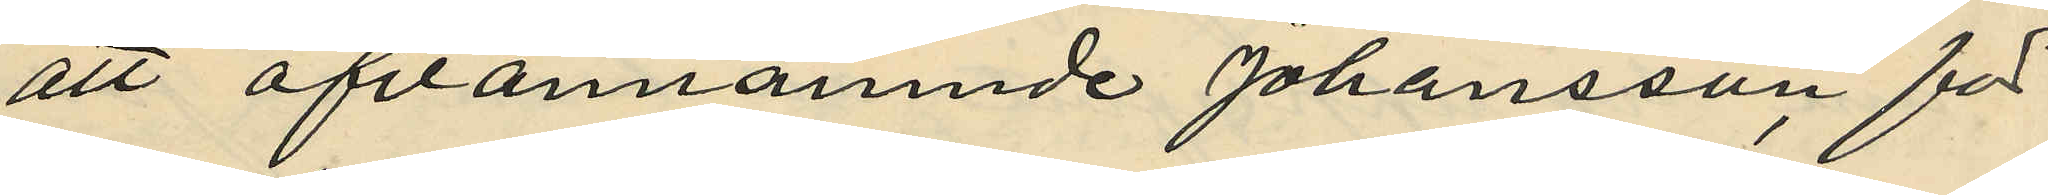att ofvannämnde Johansson, för
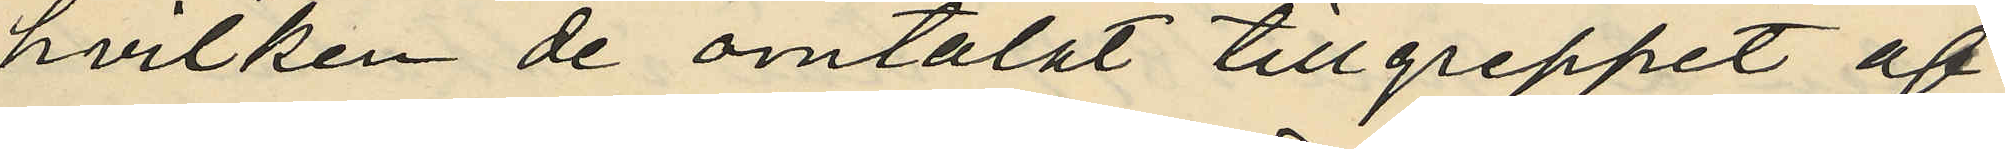hvilken de omtalat tillgreppet af
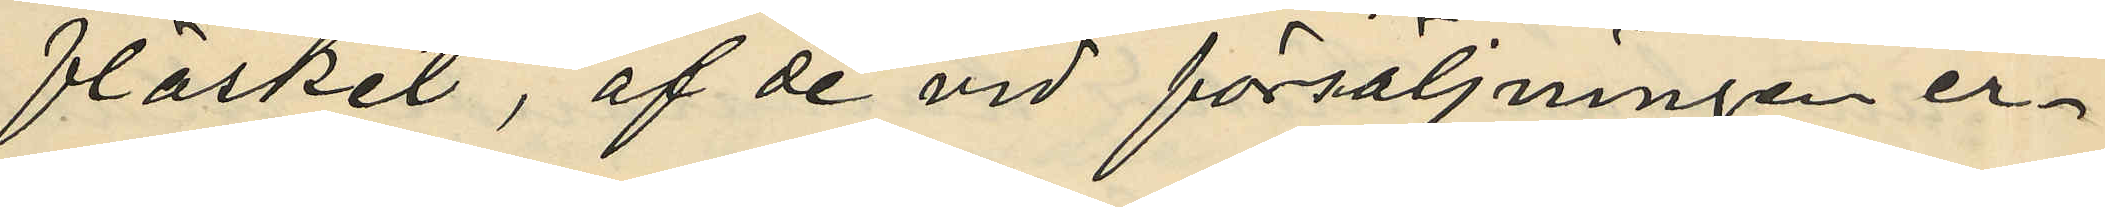fläsket, af de vid försäljningen er¬
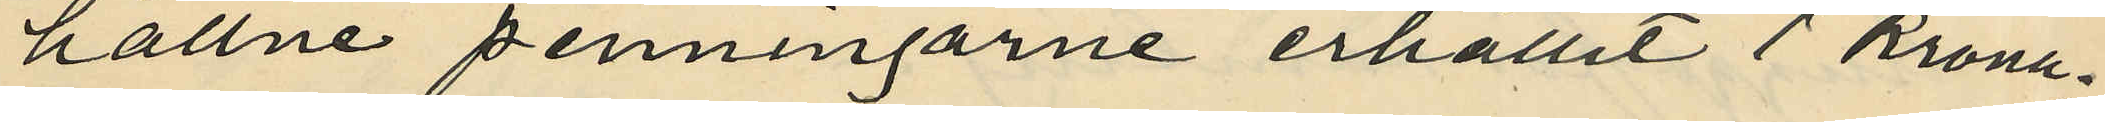hållne penningarne erhållit 1 Krona och
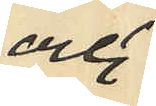och
